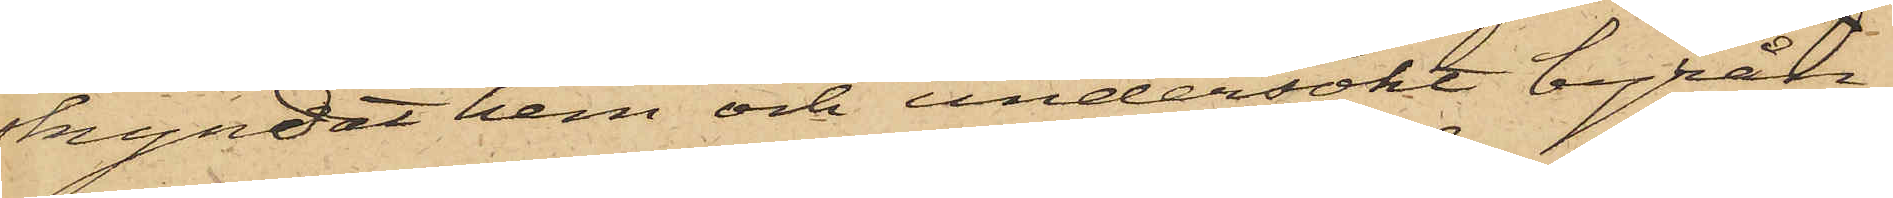skyndat hem och undersökt byrån,
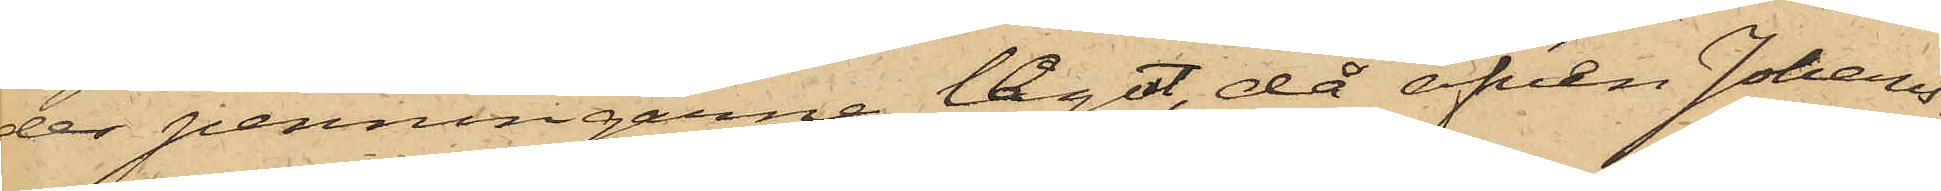der penningarne leget, då äfven Johans¬
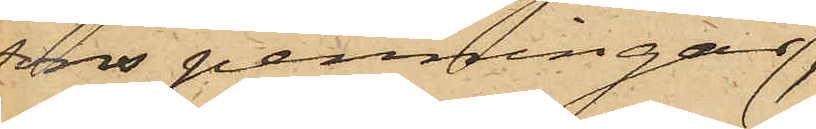sons penningar
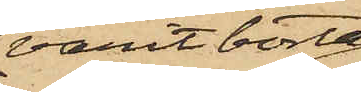varit borta;
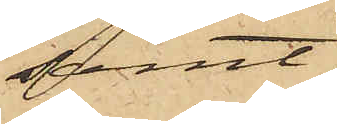samt
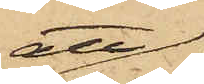att
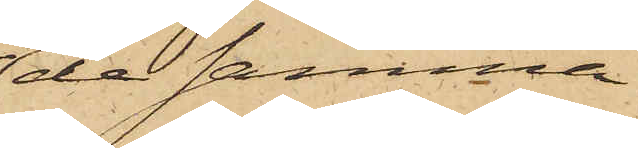de samma
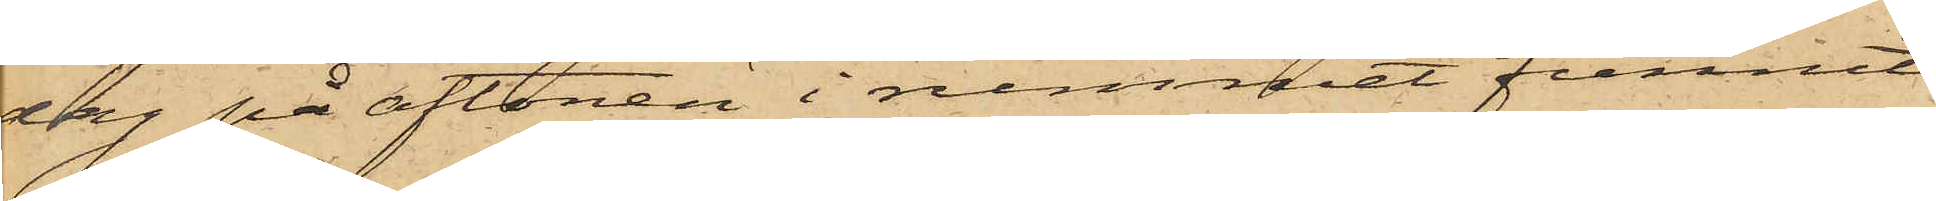dag på aftonen i rummet funnit
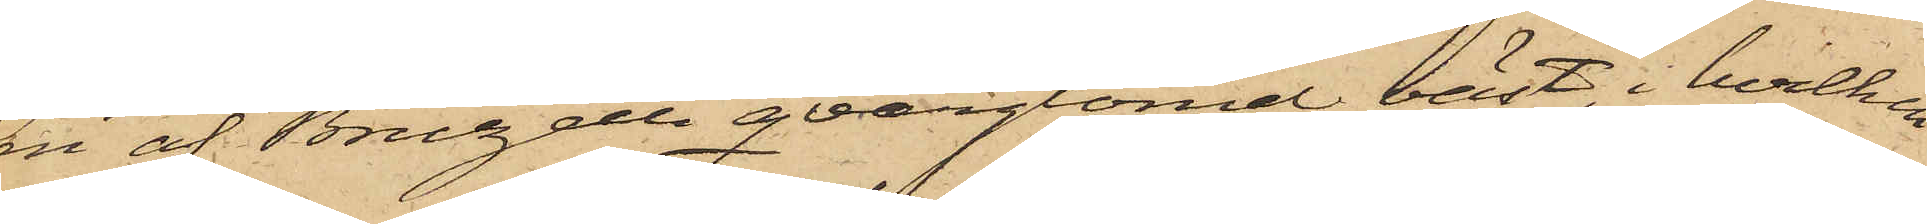en af Bruzelli qvarglömd väst, i hvilken
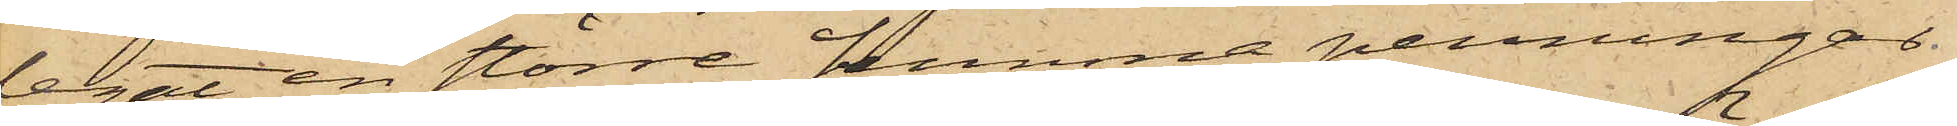legat en större summa penningar,
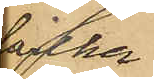hvilka
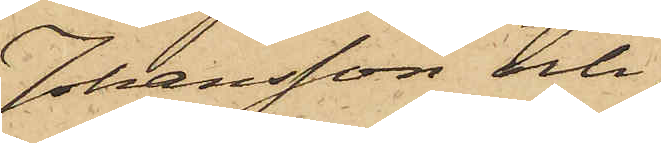Johansson och
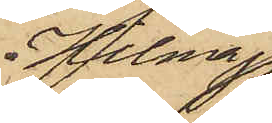Hilma
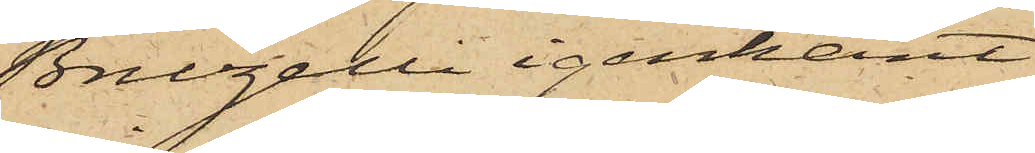Bruzelli igenkänt
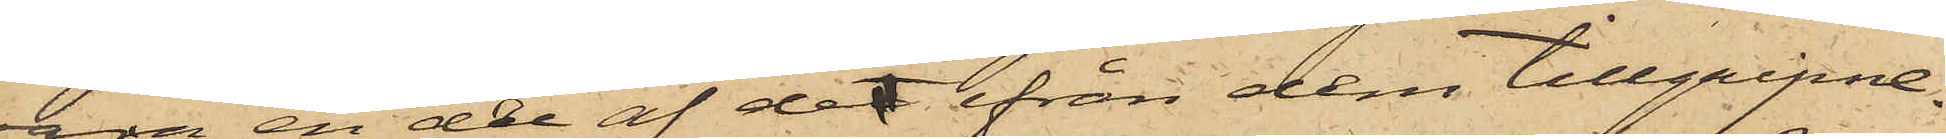vara en del af det ifrån dem tillgripne.
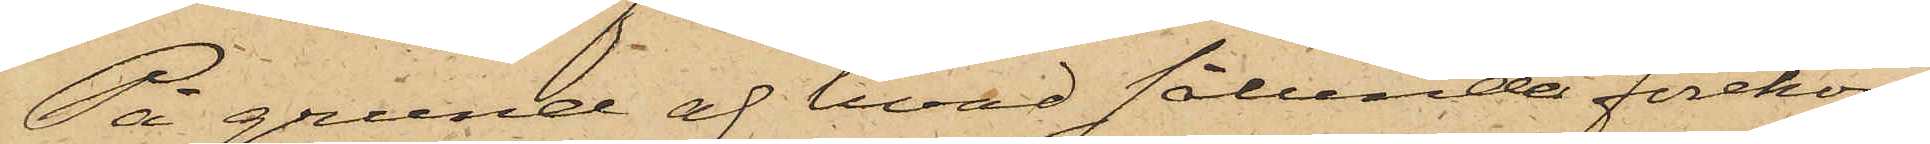På grund af hvad sålunda förekom¬
